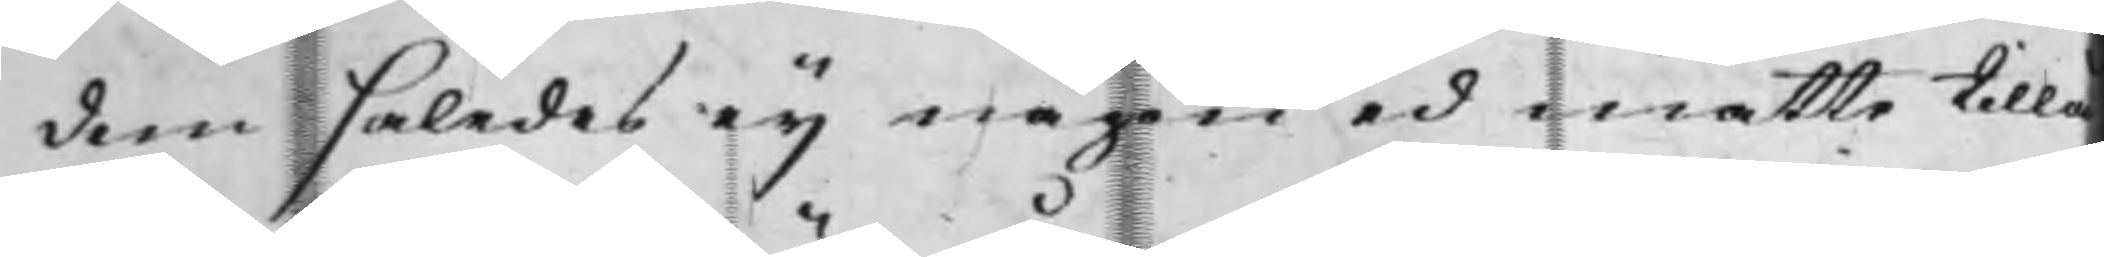dem således eij någon ed måtte tillå¬
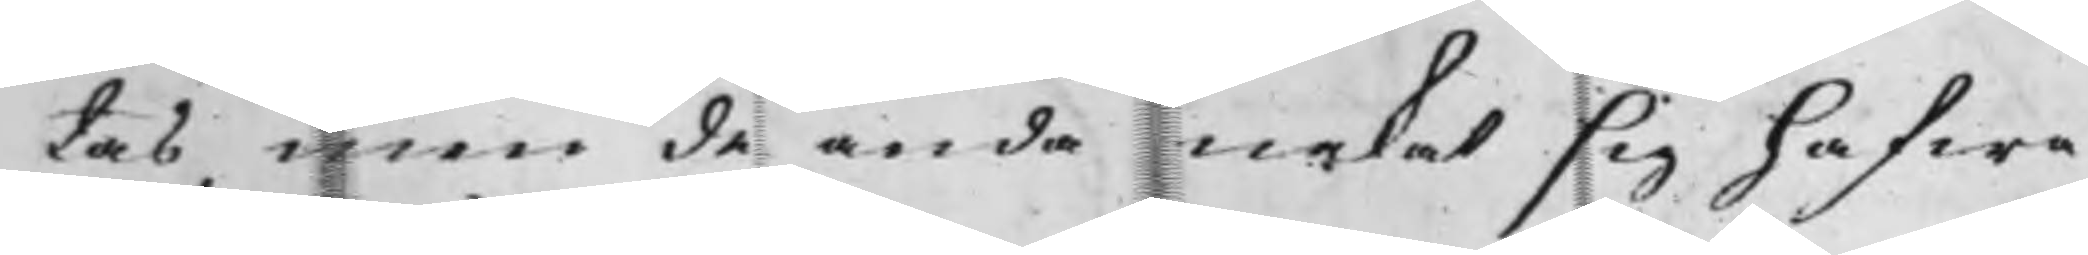tas, men de ändå nekat sig hafwa
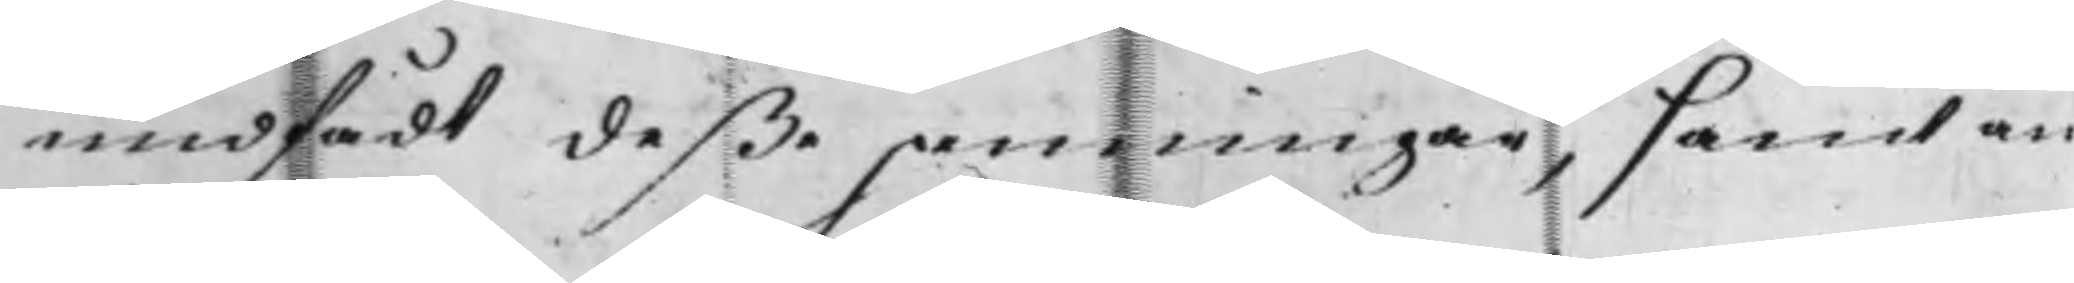undfådt deße penningar, samt än
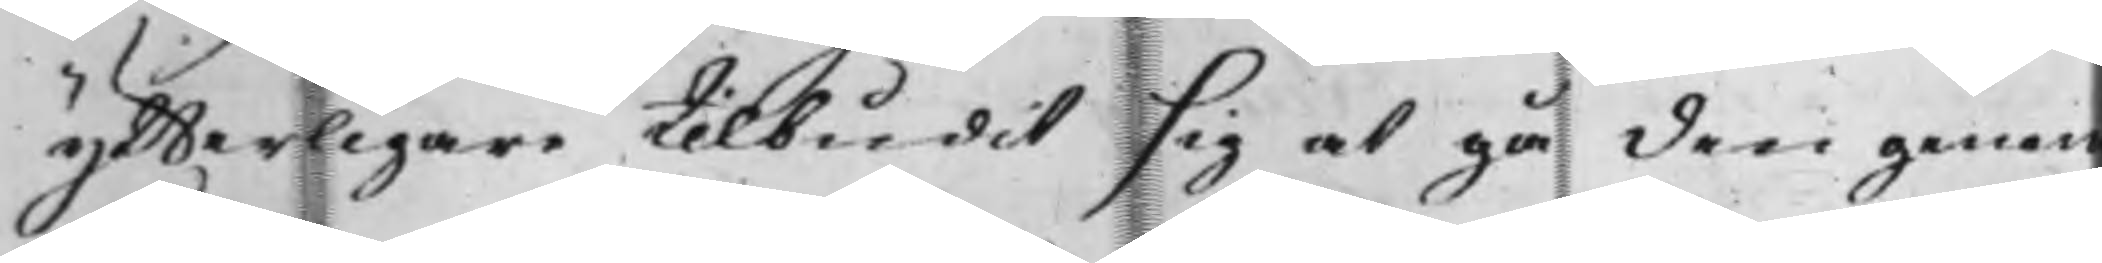ytterligare tilbudit sig at gå den genom
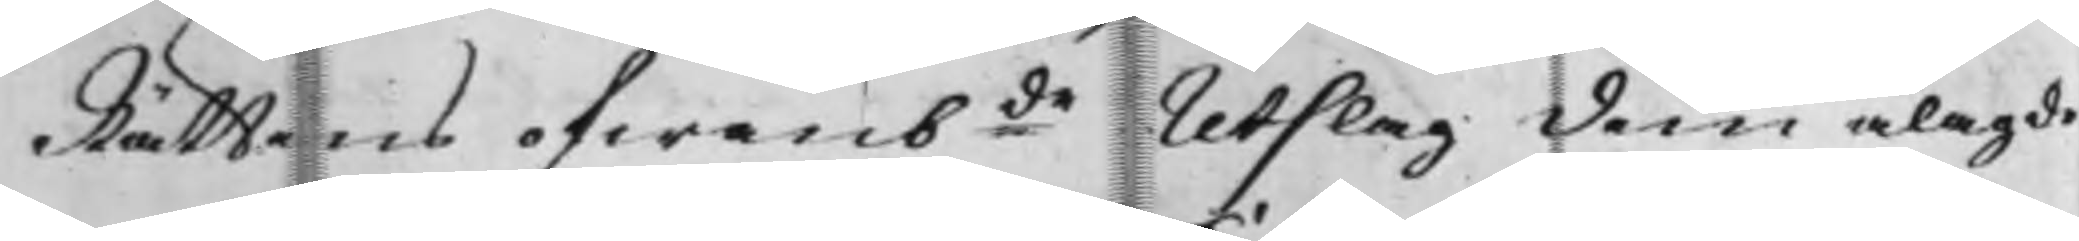Rättens ofwambde Utslag dem ålagde
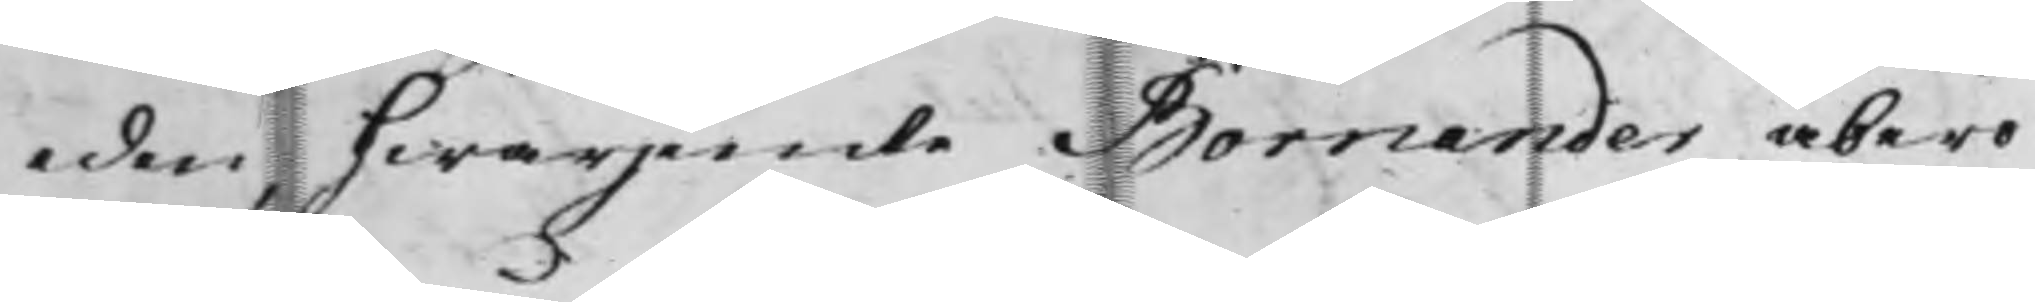eden, hwarjemte Bornander åbero¬
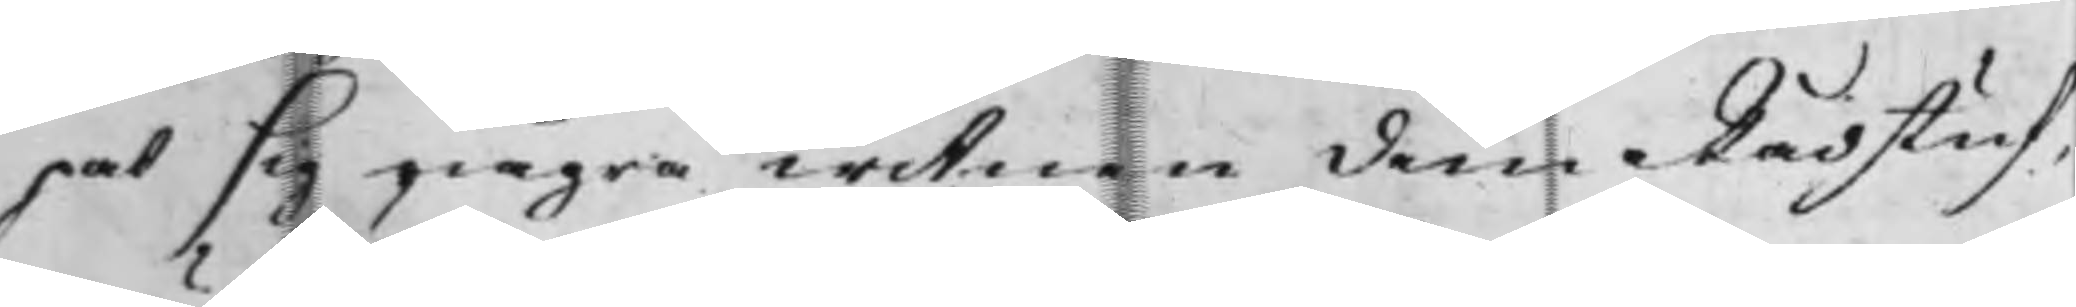pat sig några witnen, dem Rådstuf¬
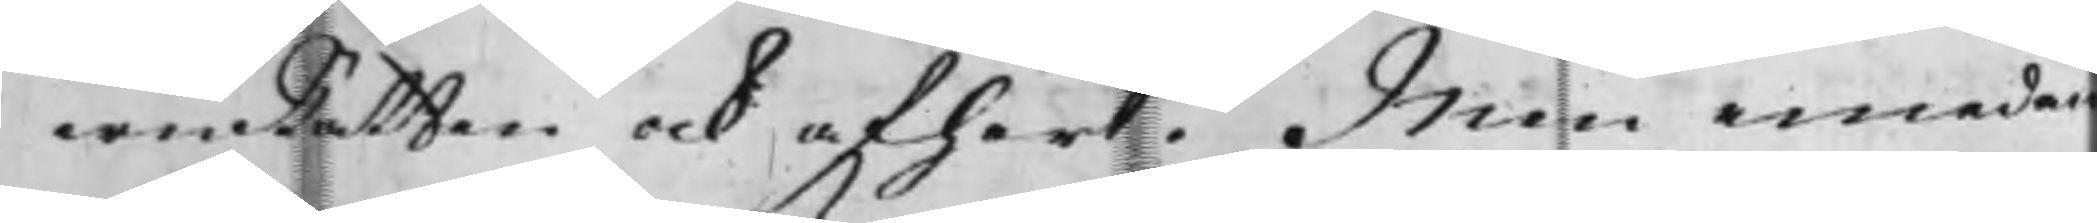wuRätten och afhört. Men emedan
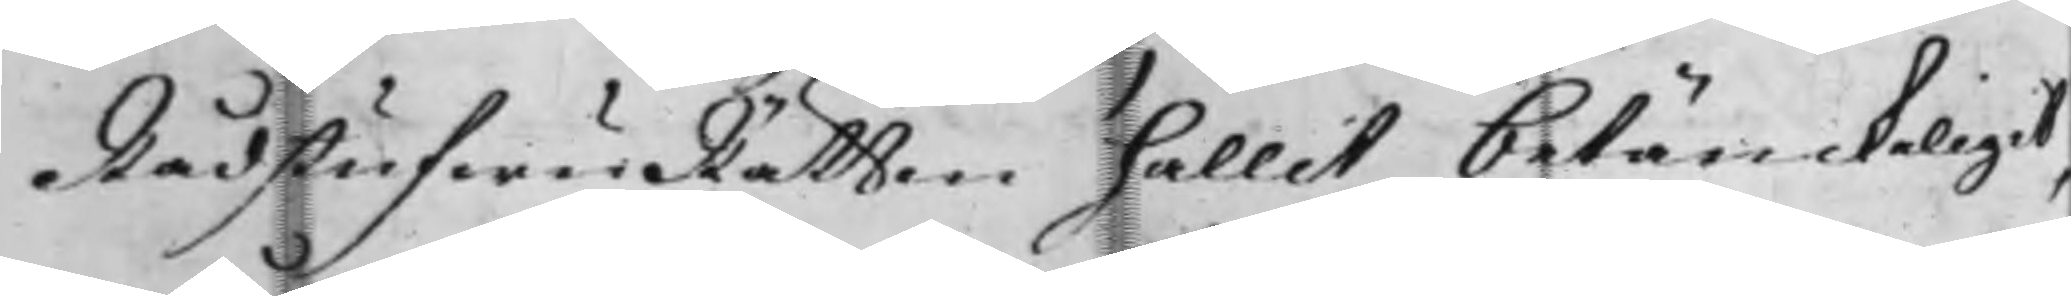RådstufwuRätten hållit betänckeligit,
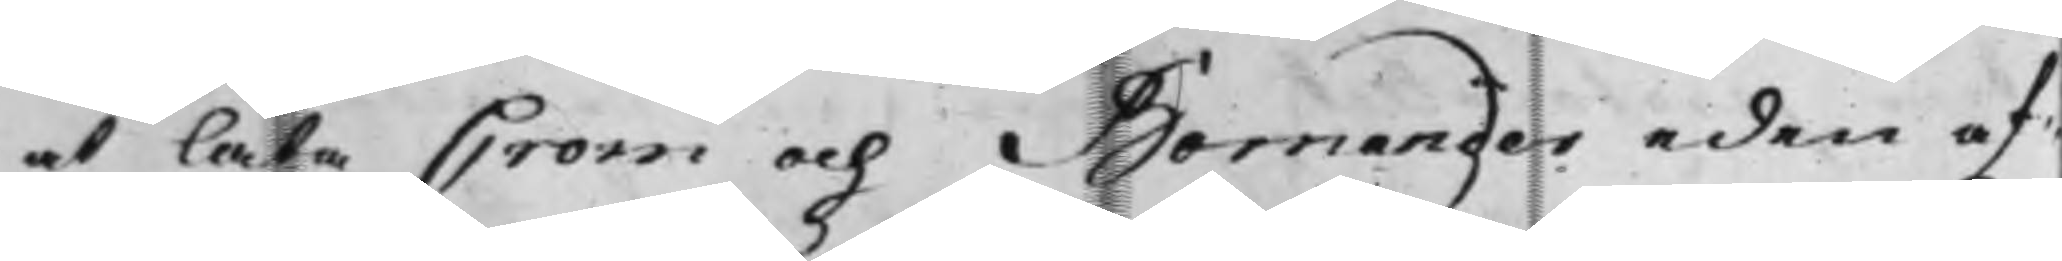at låta Crom och Bornander eden af¬
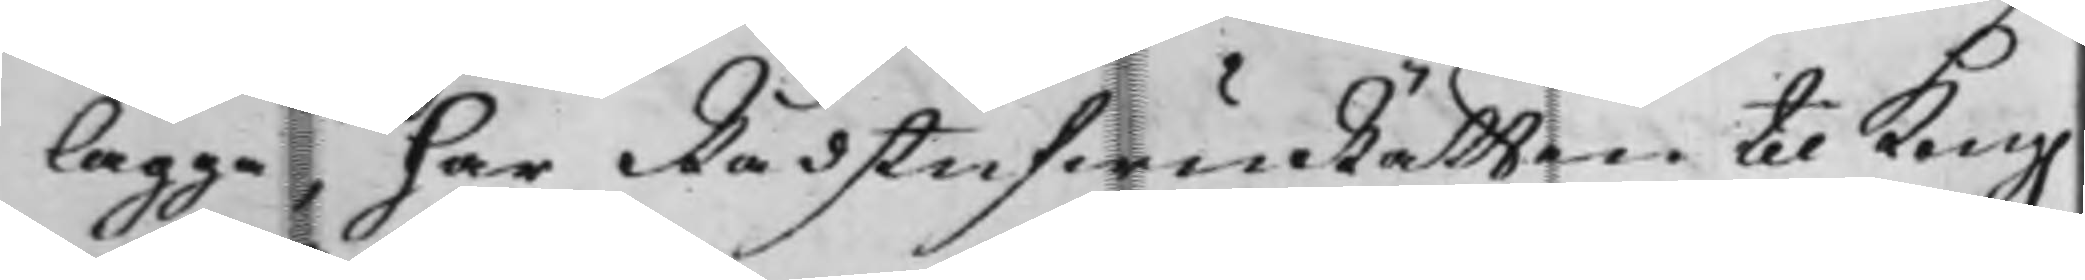lägga, har RådstufwuRätten til Kong.
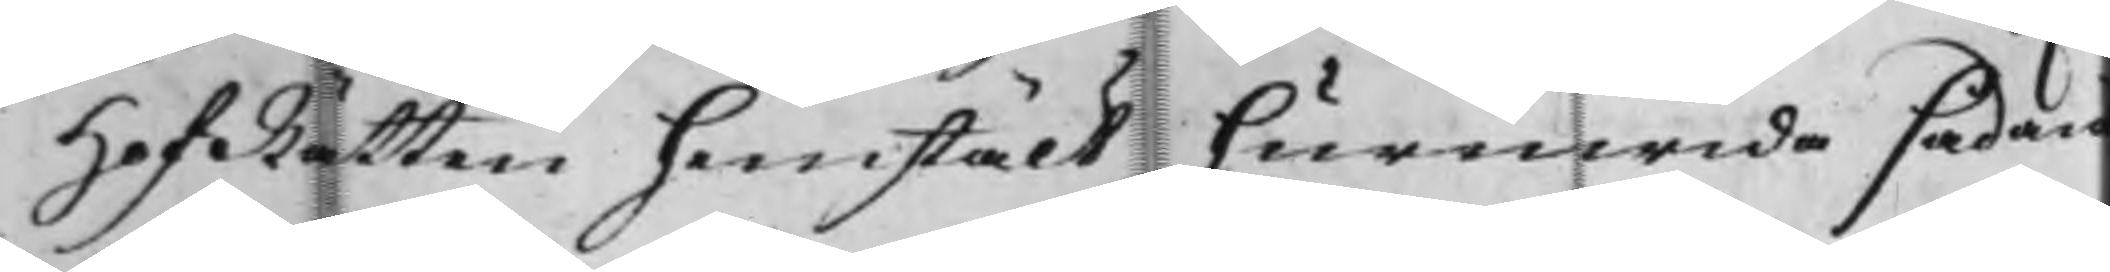HofRätten hemstält, huruwida sådan
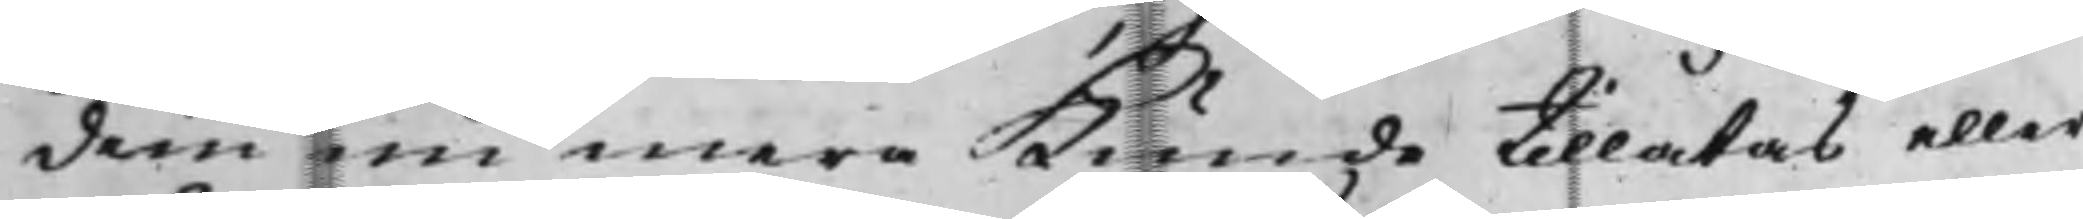dem nu mera kunde tillåtas eller
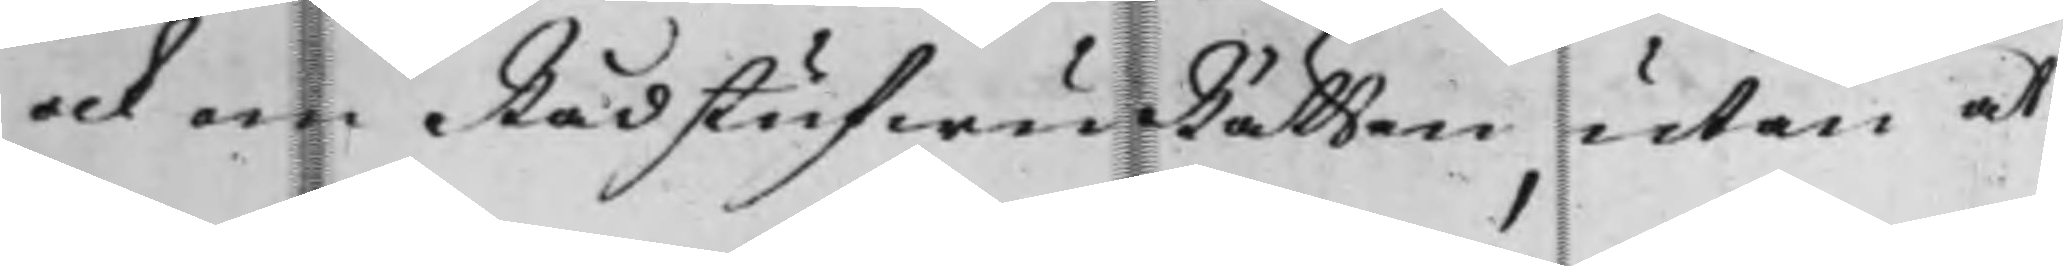ock om RådstufwuRätten, utan at
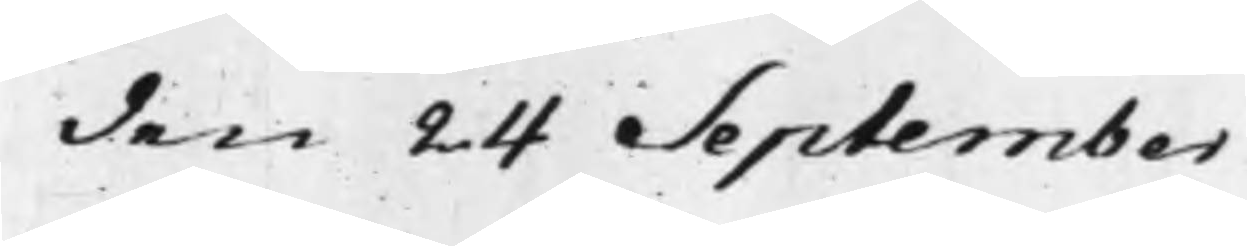den 24 September
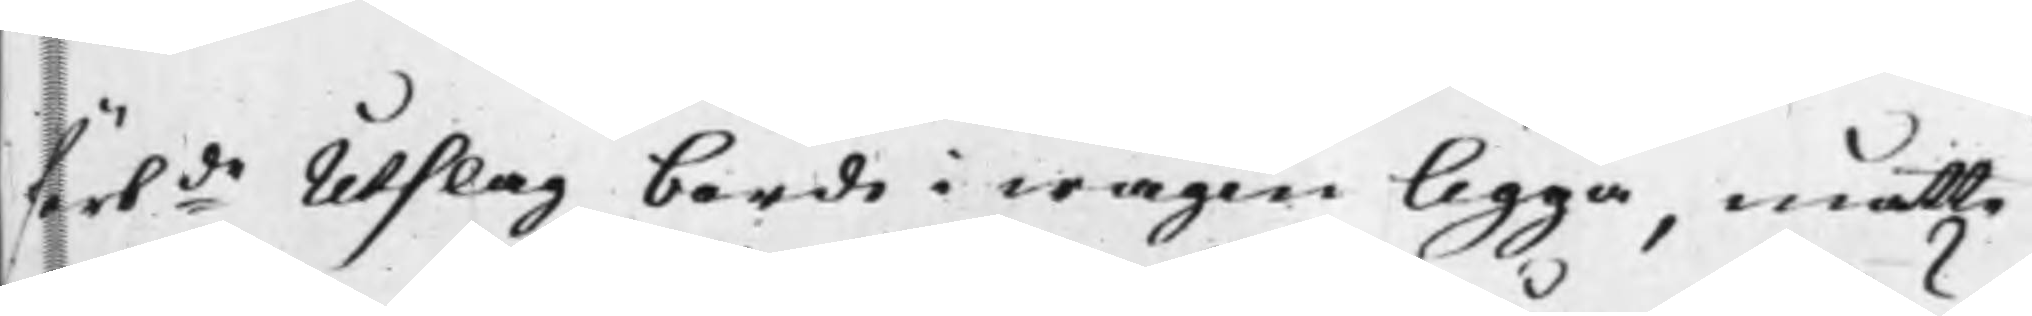förbde Utslag borde i wägen ligga, måtte
